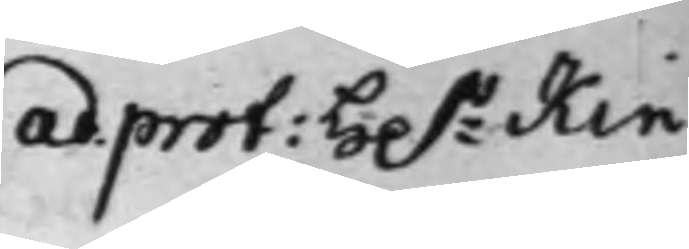ad prot: H.r Kin¬
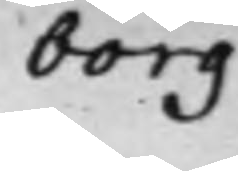borg.
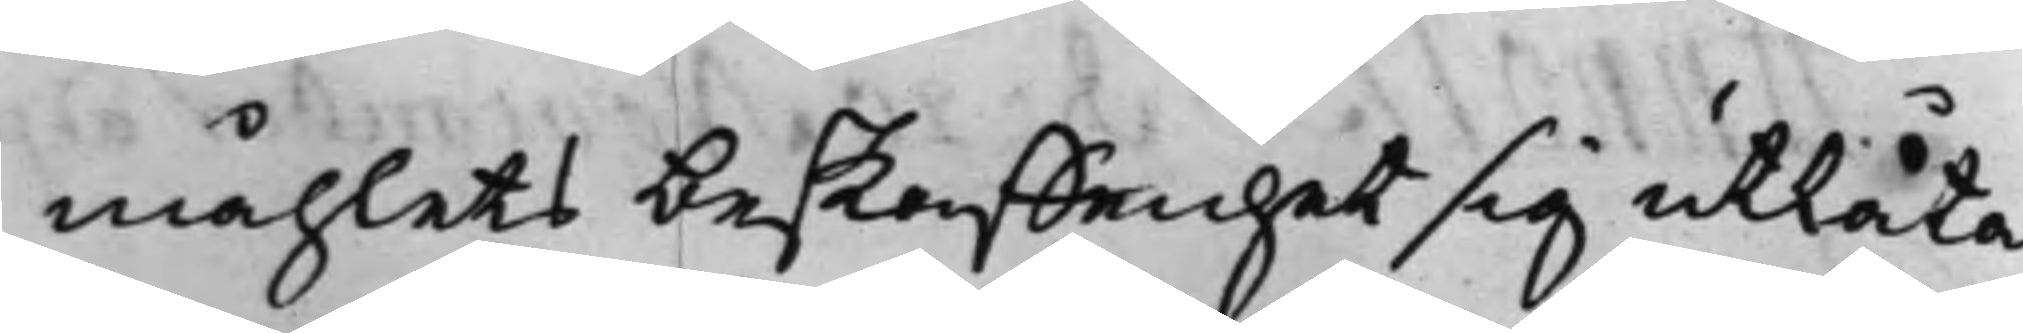måhlets beskaffenhet sig utlåta
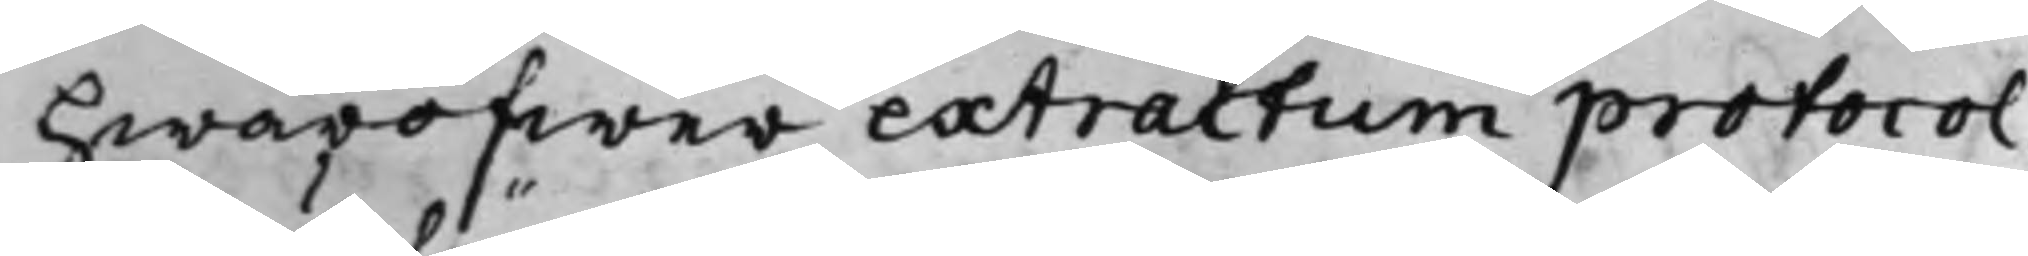hwaröfwer extractum protocol¬
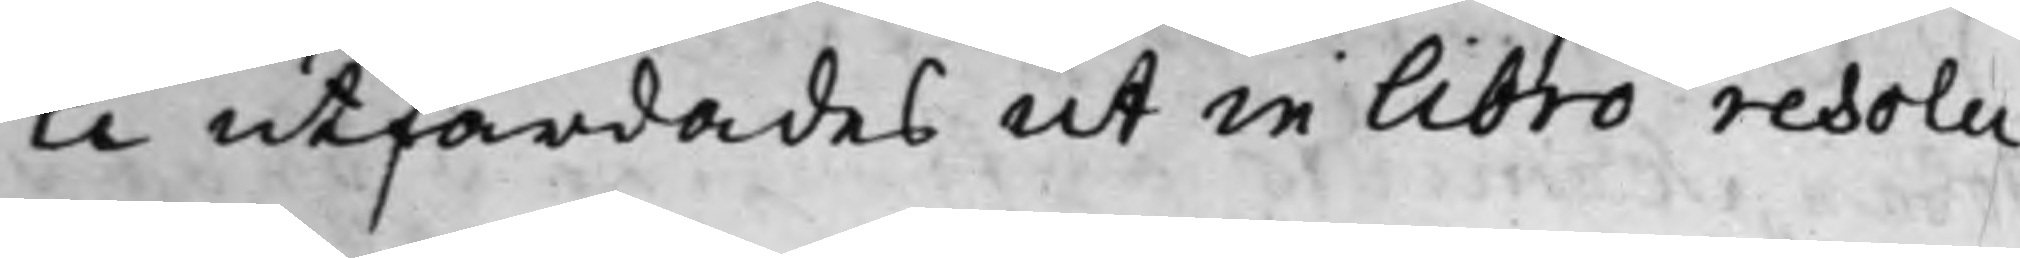li utfärdades ut in libro resolu¬
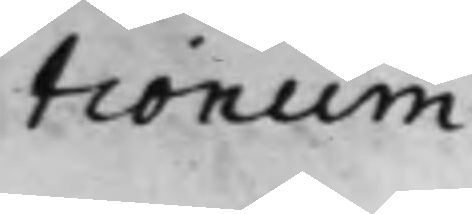tionum
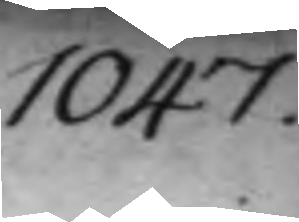1047.
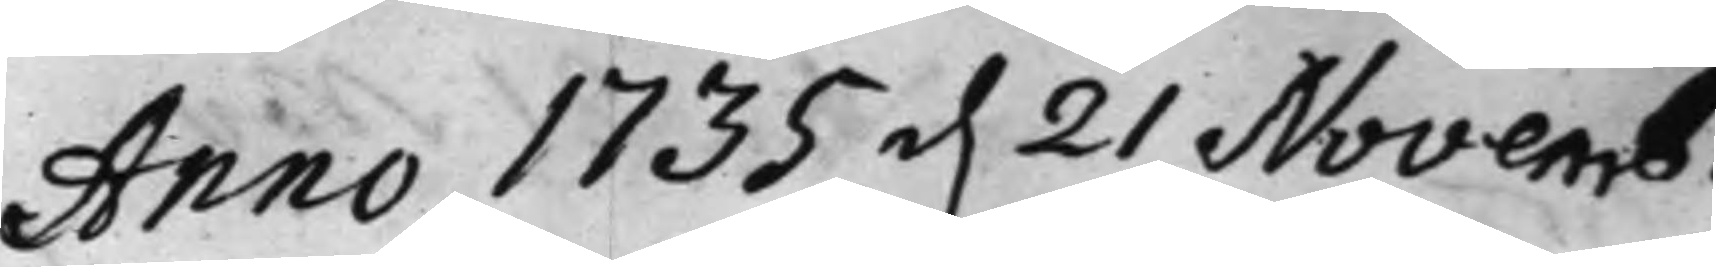Anno 1735 d. 21 Novemb.
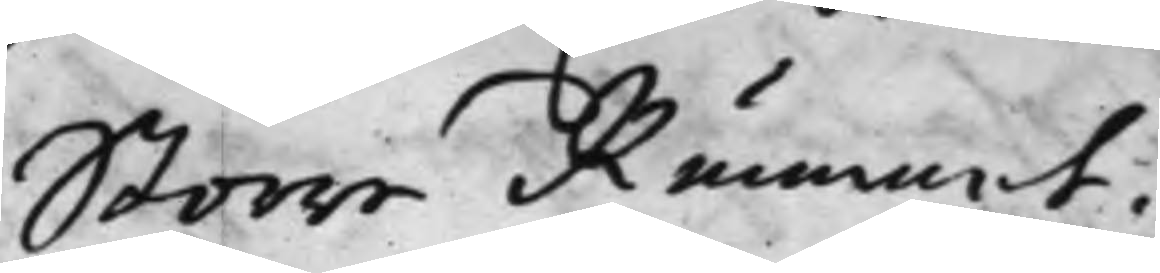Större Rummet.
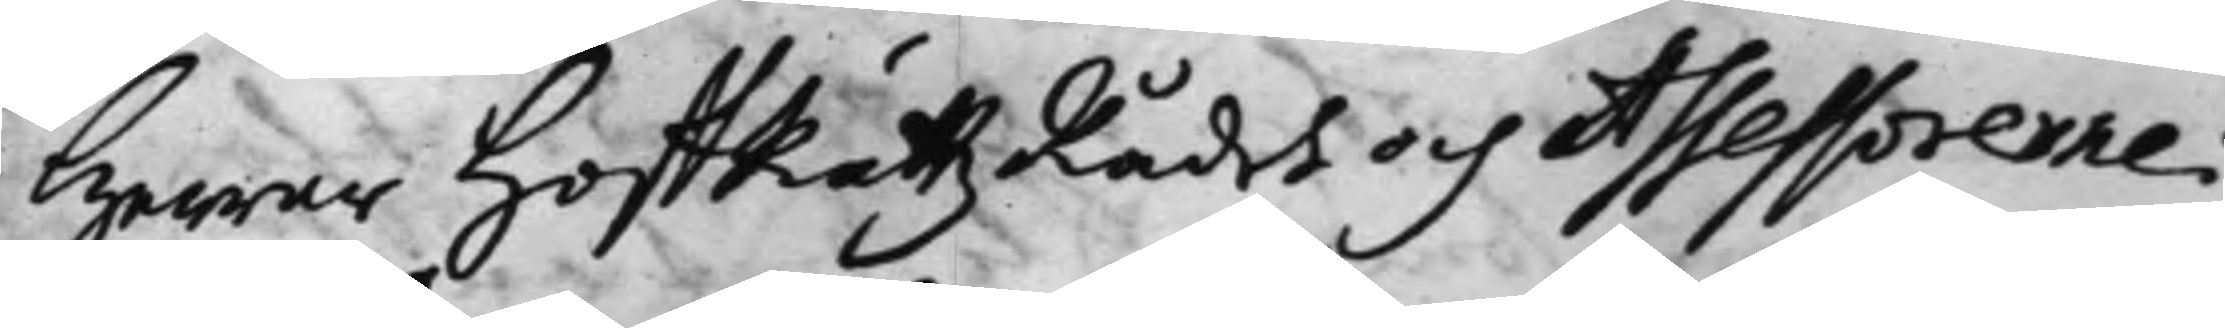Herrar HoffRättzRådh och Assessorerne:
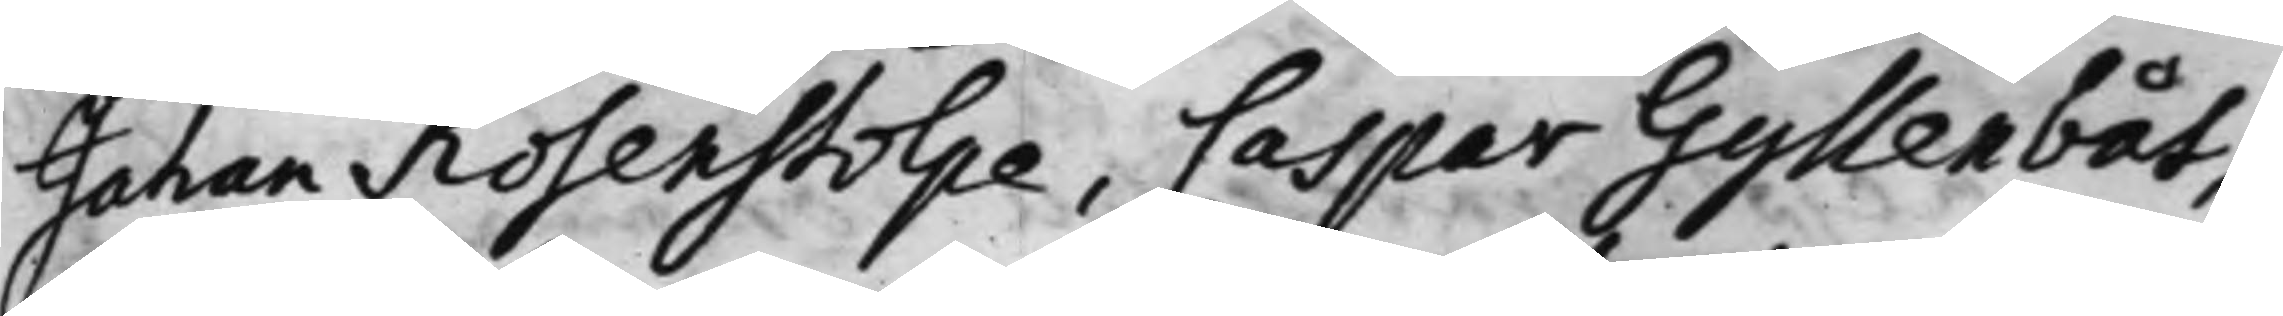Johan Rosenstolpe, Caspar Gyllenbåt,
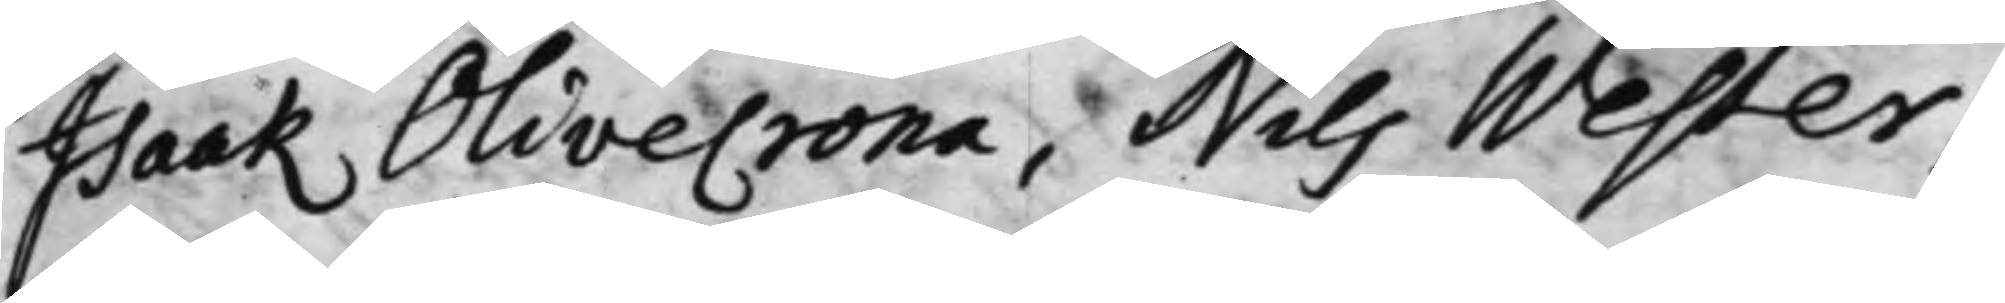Isaak Olivecrona, Nils Wester,
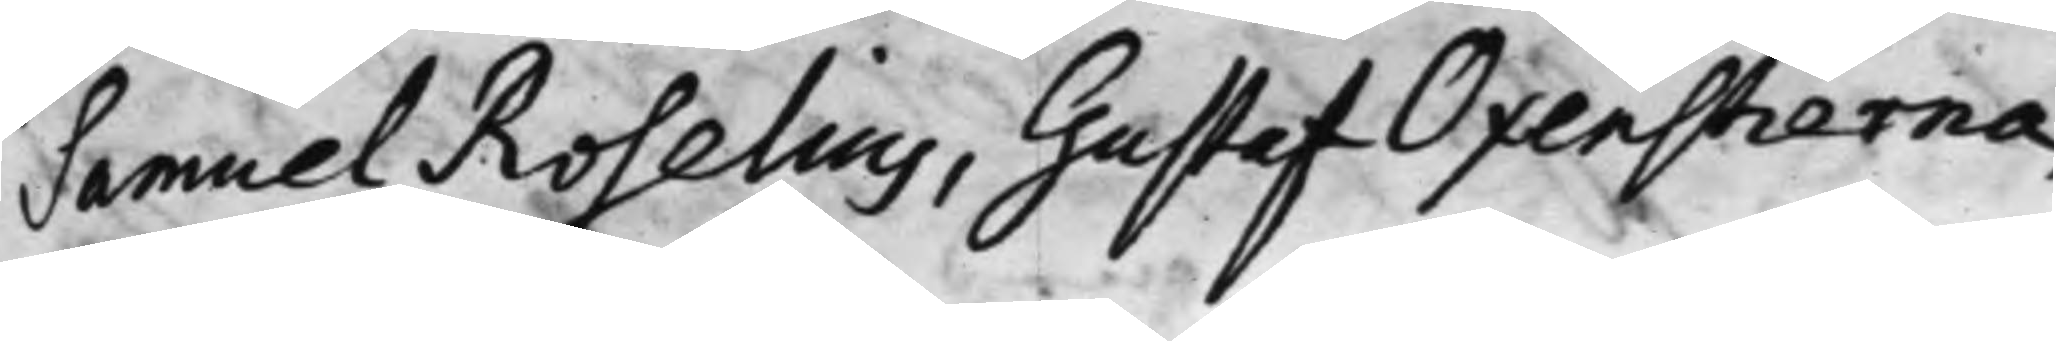Samuel Roselius, Gustaf Oxenstierna,
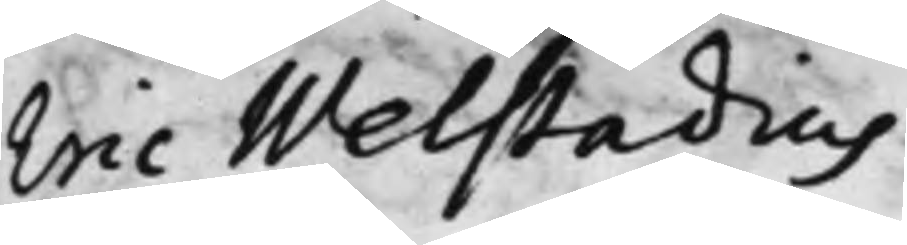Eric Welstadius.
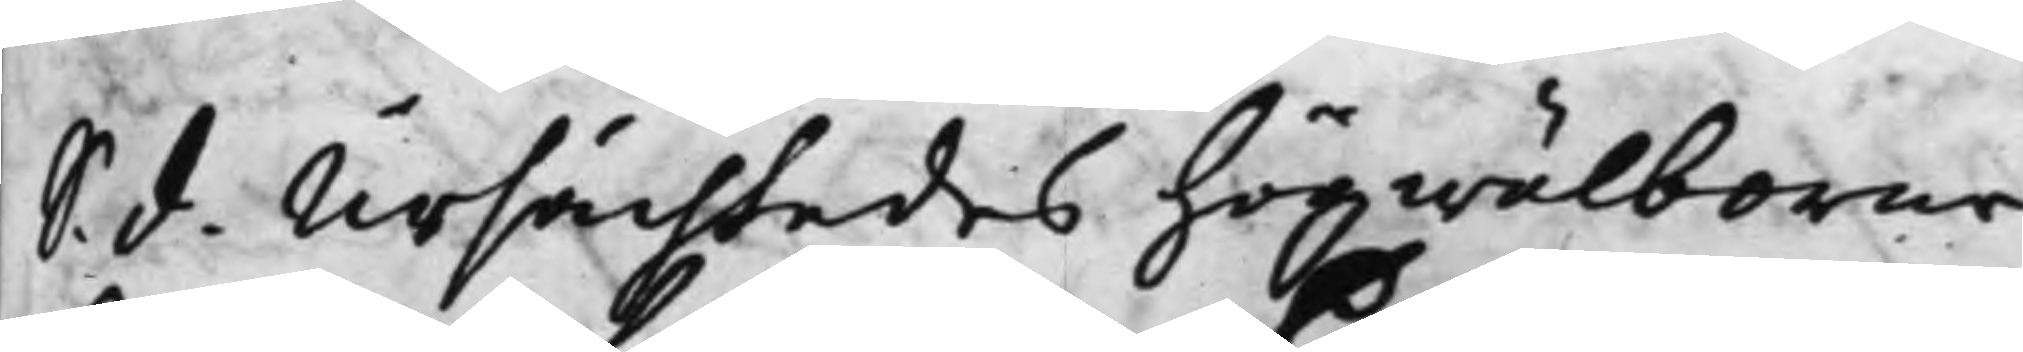S. d. Ursächtades högwälborne
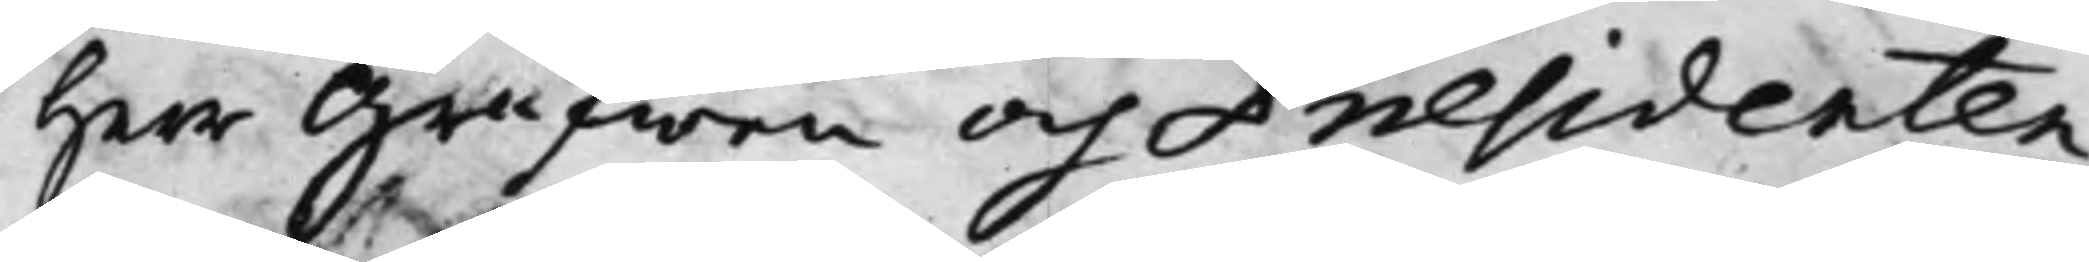Herr Grefwen och Præsidenten
